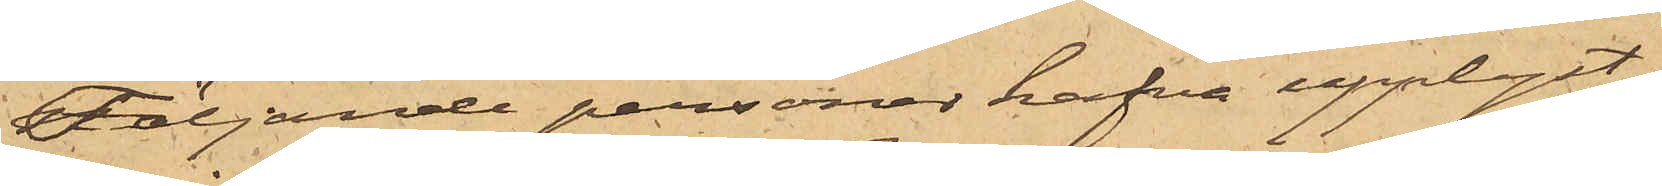Följande personer hafva upplyst:
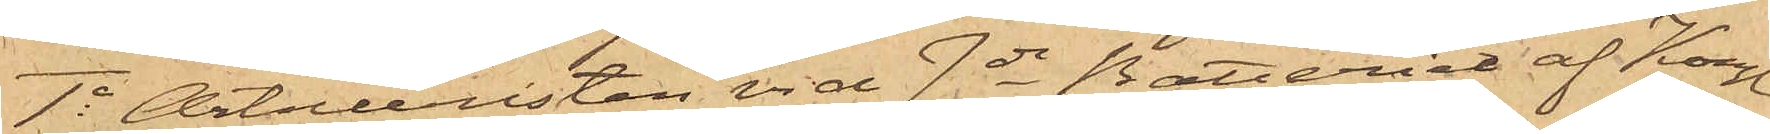1o Artilleristen vid 7de Batteriet af Kongl.
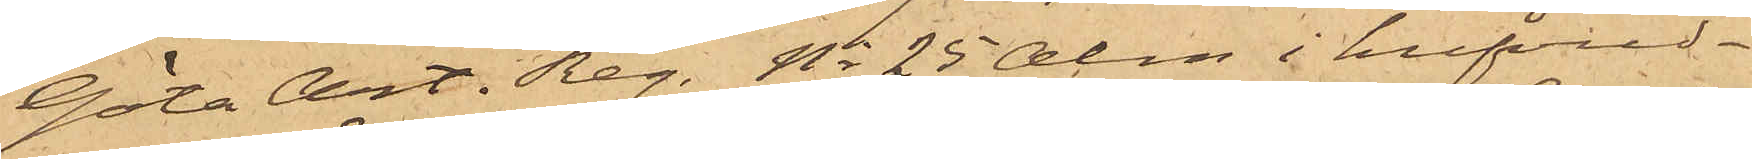Göta Art. Reg. No 25 Alm i hufvud¬
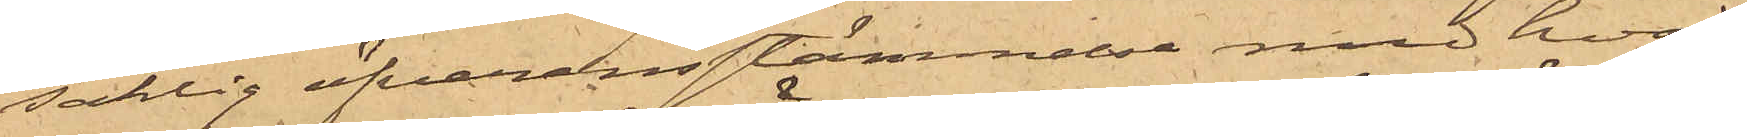saklig öfverensstämmelse med hvad
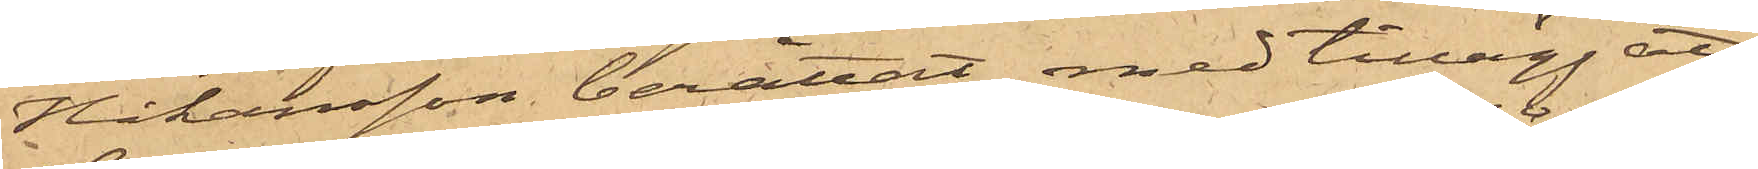Håkansson berättat, med tillägg att
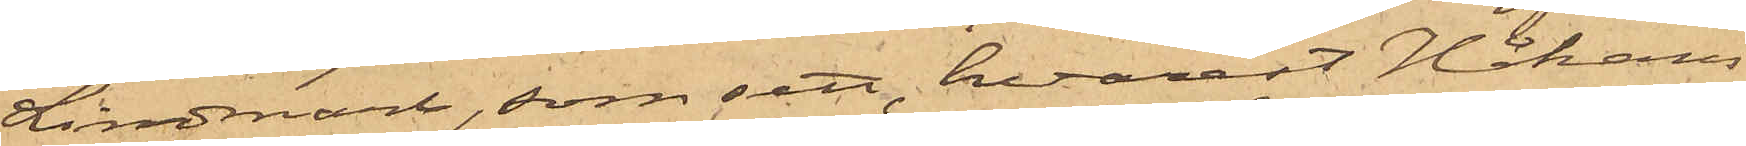Lindmark, som sett, hvarest Håkans¬
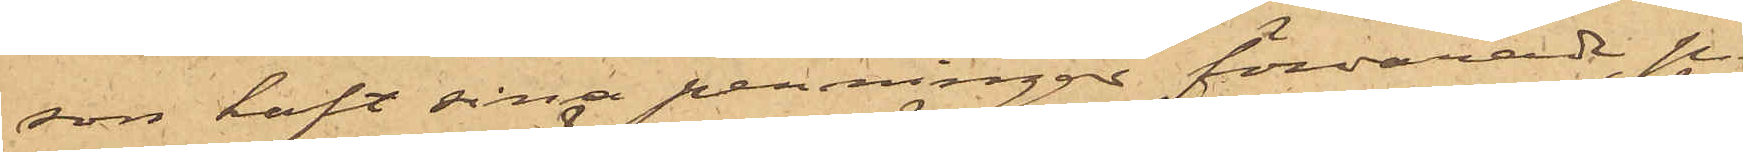son haft sina penningar förvarade, på
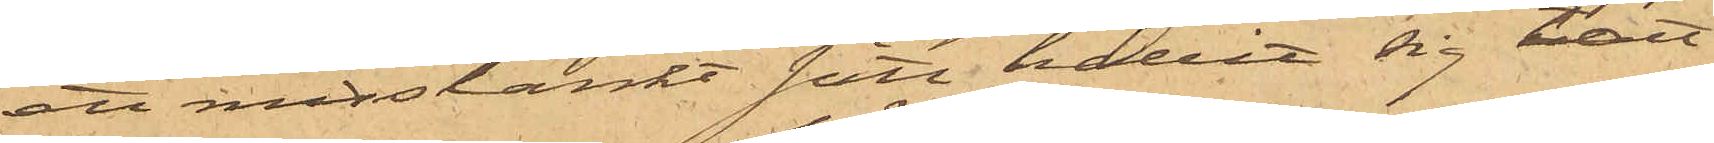ett misstänkt sätt hållit sig tätt
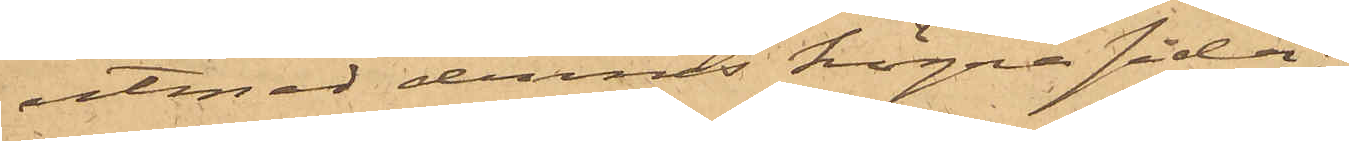utmed dennes högra sida;
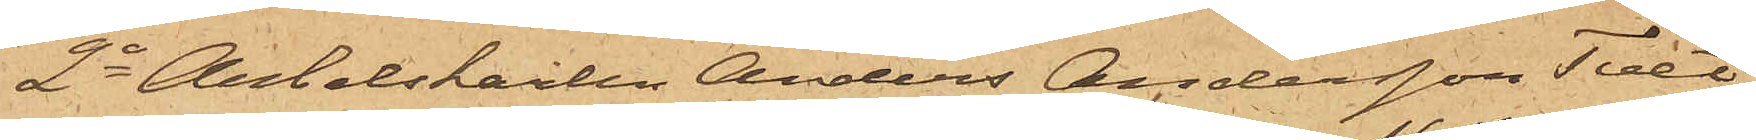2o Arbetskarlen Anders Andersson Tvet
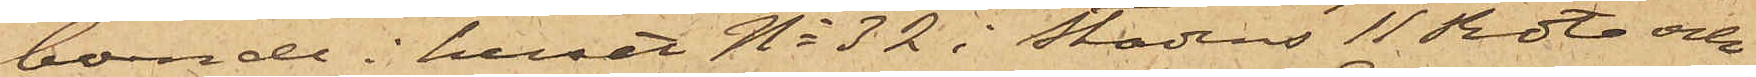boende i huset No 32 i Stadens 11 Rote och
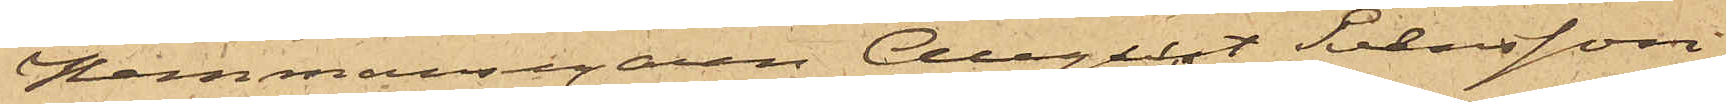Hemmansegaren August Svensson
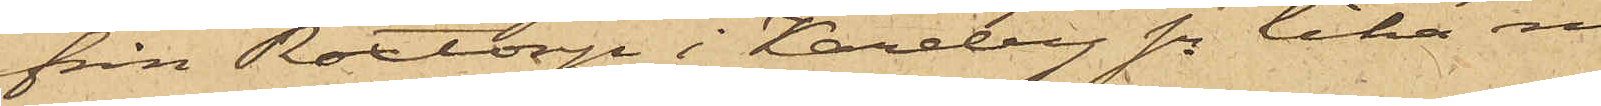från Roxtorp i Kareby sn lika med
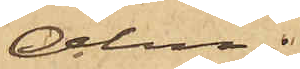Alm;
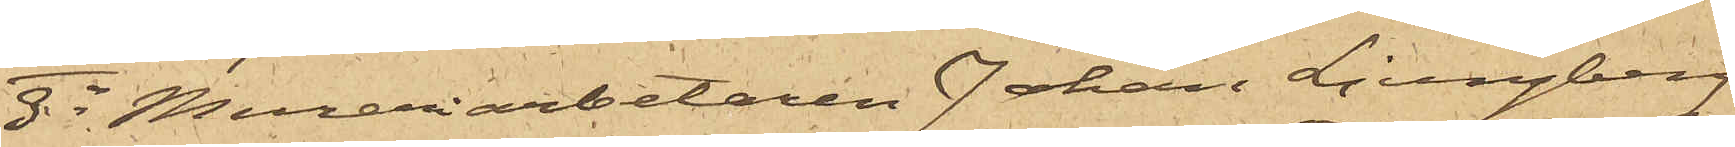3o Mureriarbetaren Johan Ljungberg
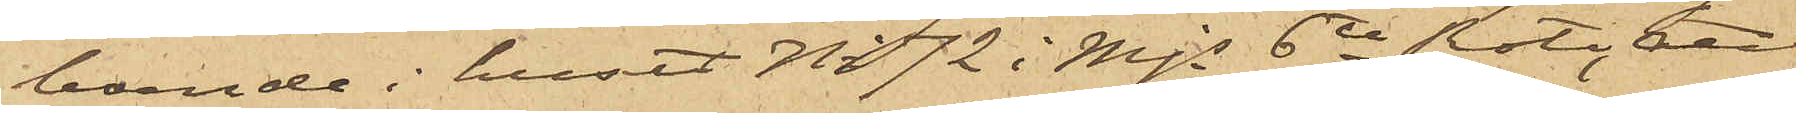boende i huset No 72 i Mjs 6te Rote, att
